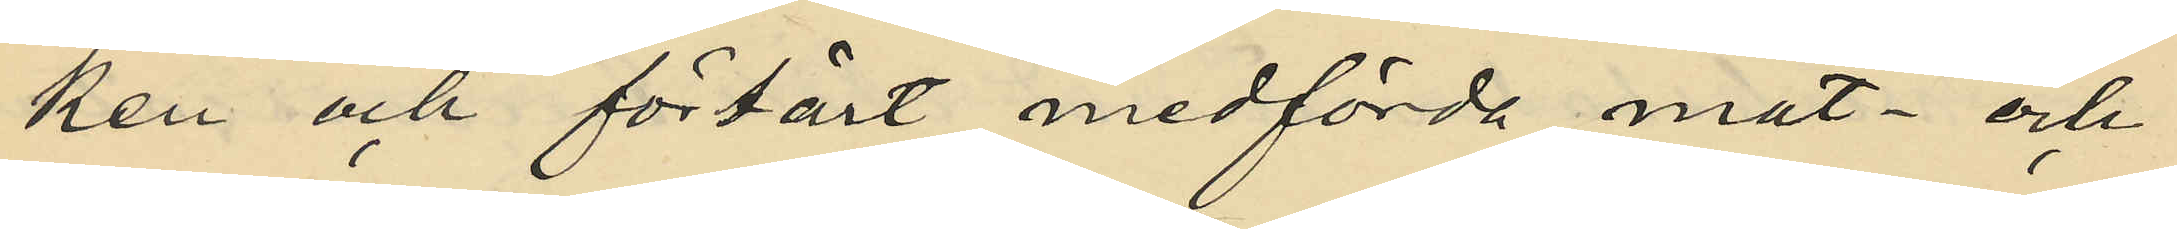ken och förtärt medförda mat- och
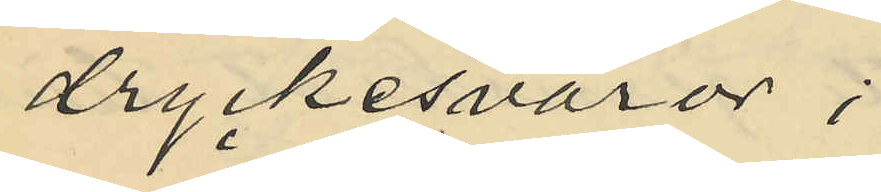dryckesvaror;
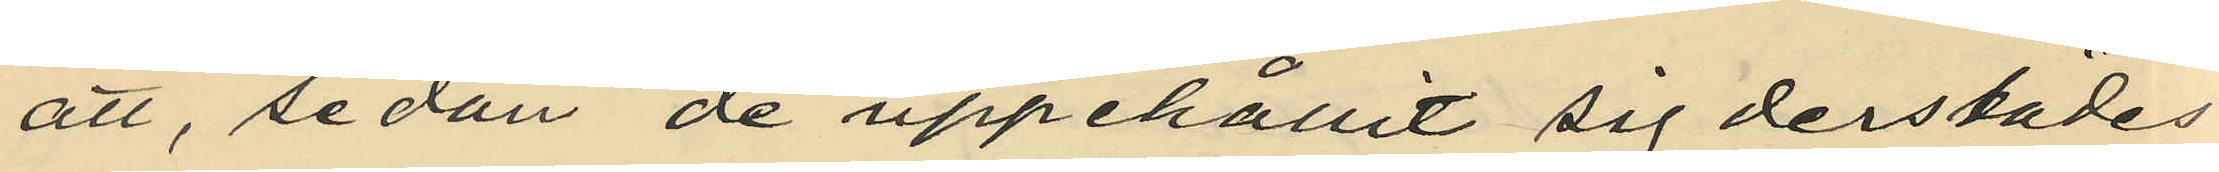att, sedan de uppehållit sig derstädes
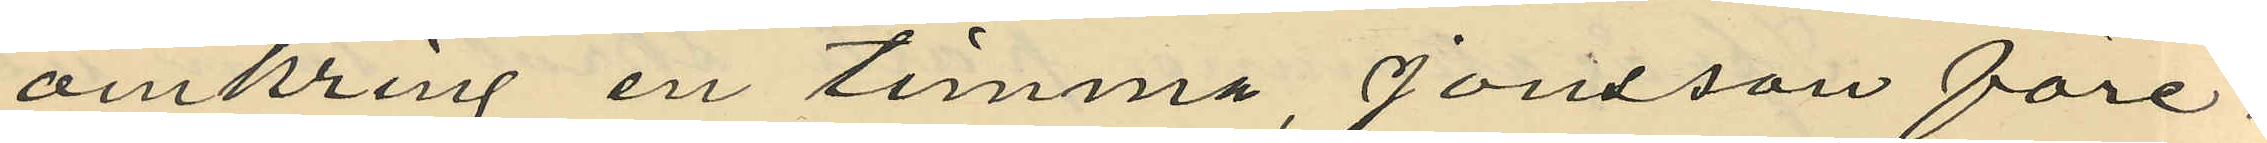omkring en timma, Jonsson före¬
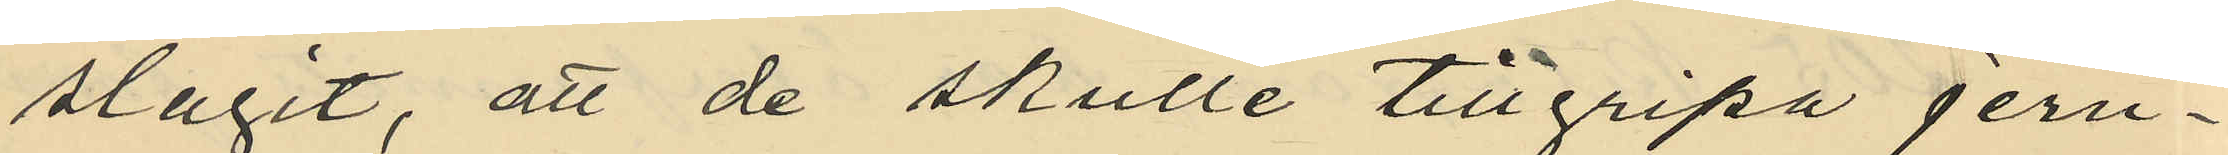slagit, att de skulle tillgripa jern¬
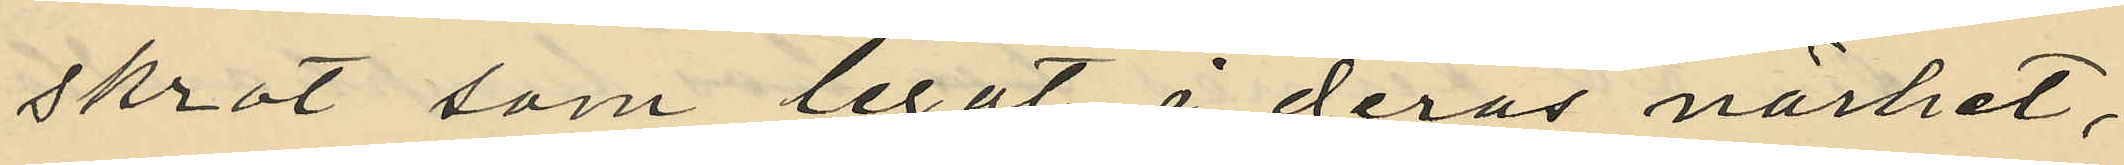skrot som legat i deras närhet,
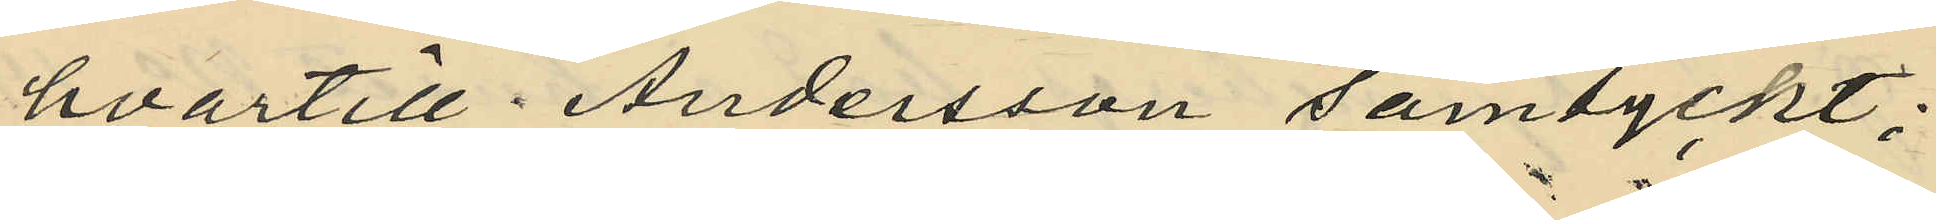hvartill Andersson samtyckt;
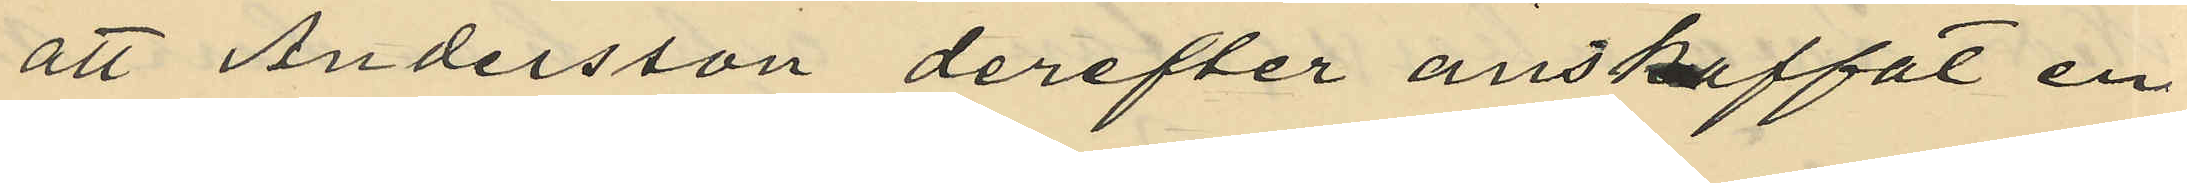att Andersson derefter anskaffat en
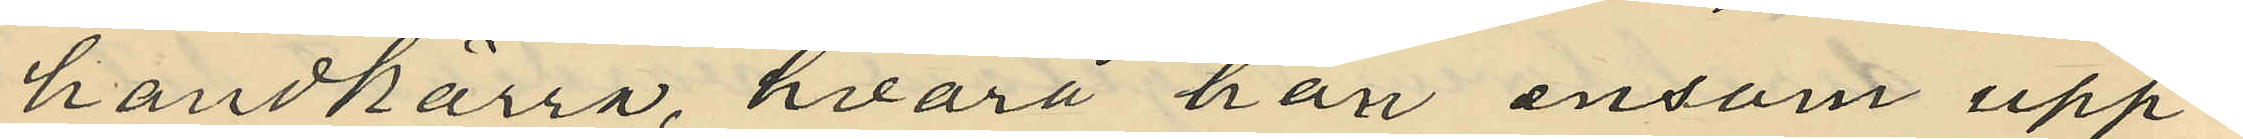handkärra, hvarå han ensam upp¬
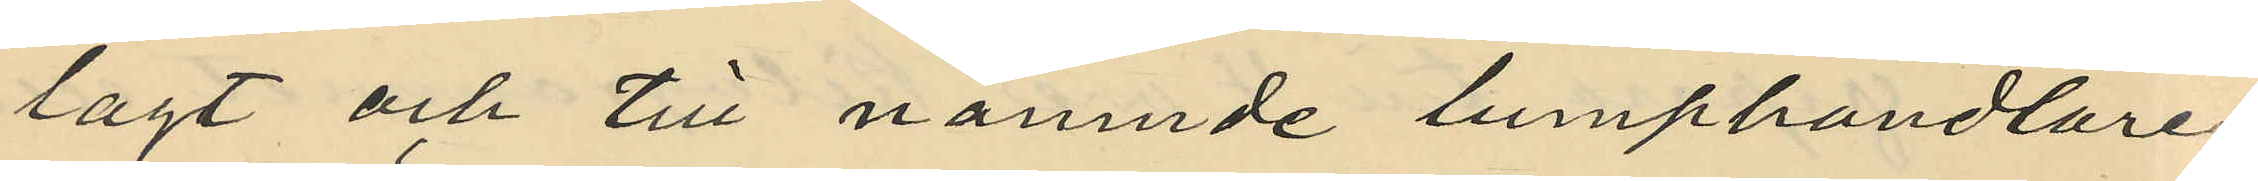lagt och till nämnde lumphandlare.
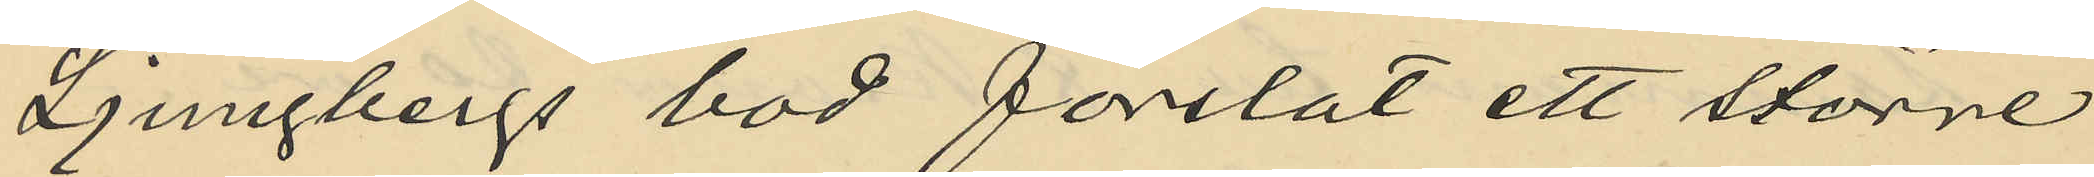Ljungbergs bod forslat ett större
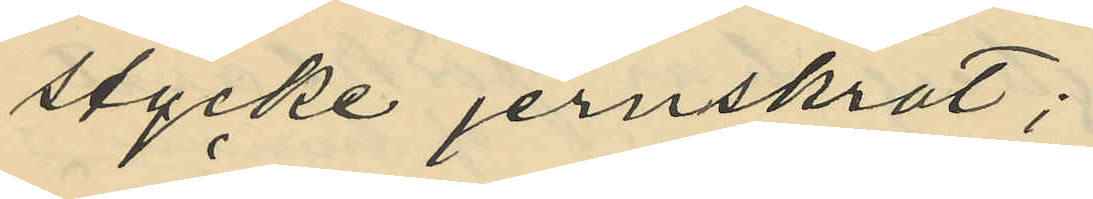stycke jernskrot;
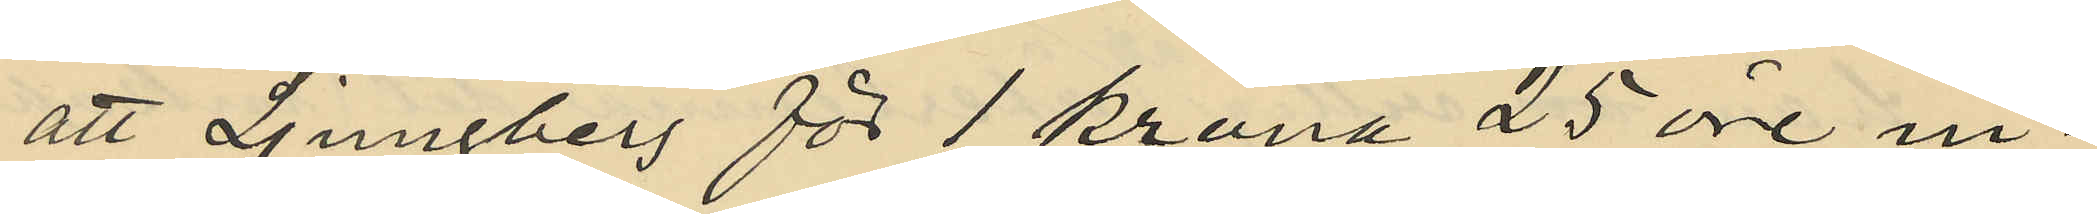att Ljungberg för 1 krona 25 öre in¬
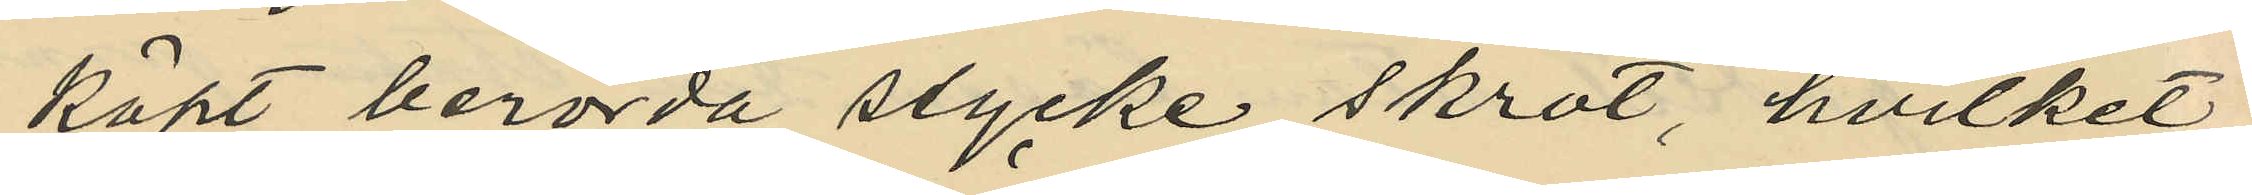köpt berörda stycke skrot, hvilket
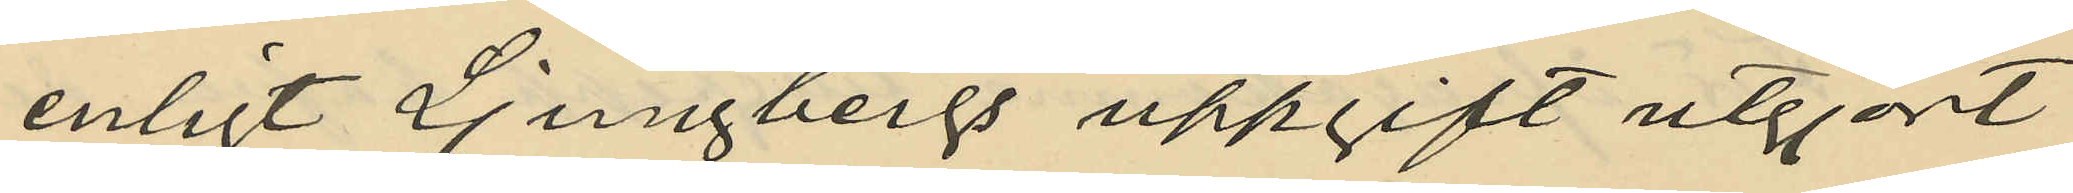enligt Ljungbergs uppgift utgjort
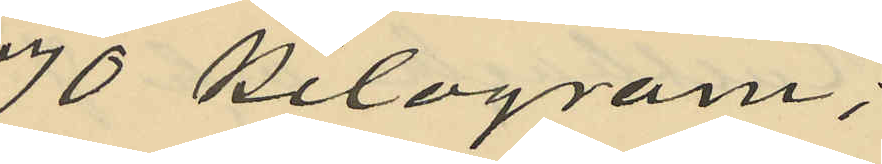70 Kilogram;
